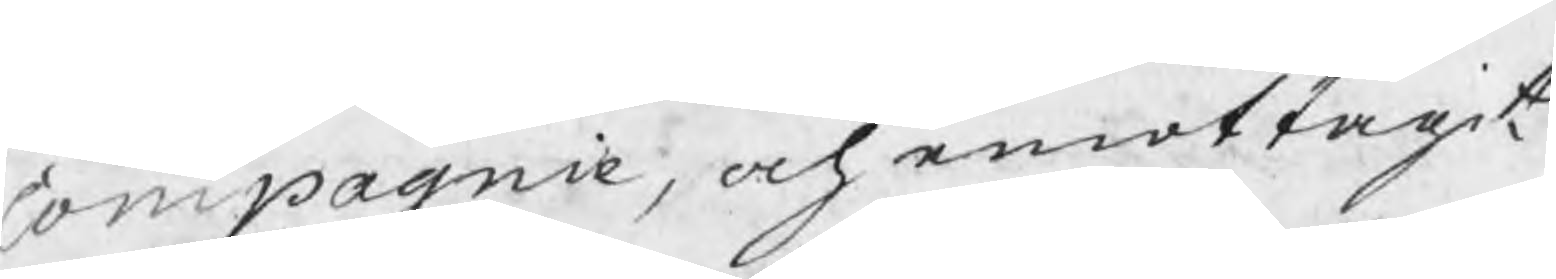Compagnie, och emottagit
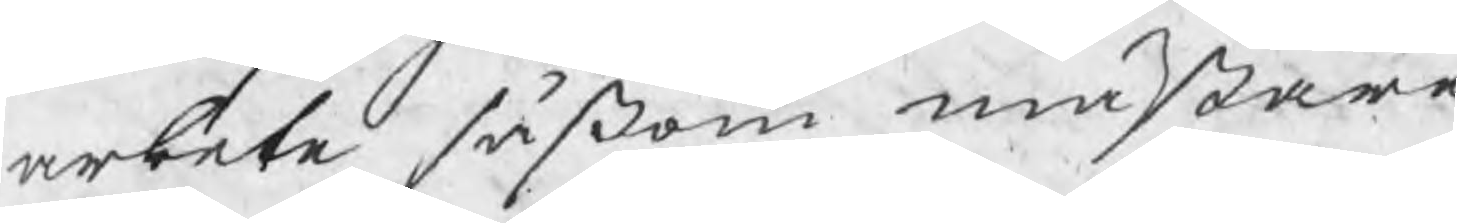arbete såsom mästare
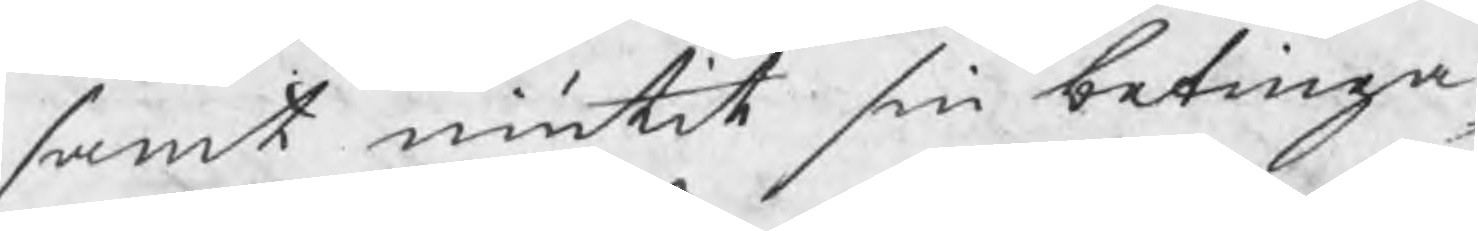samt niutit sin betinga¬
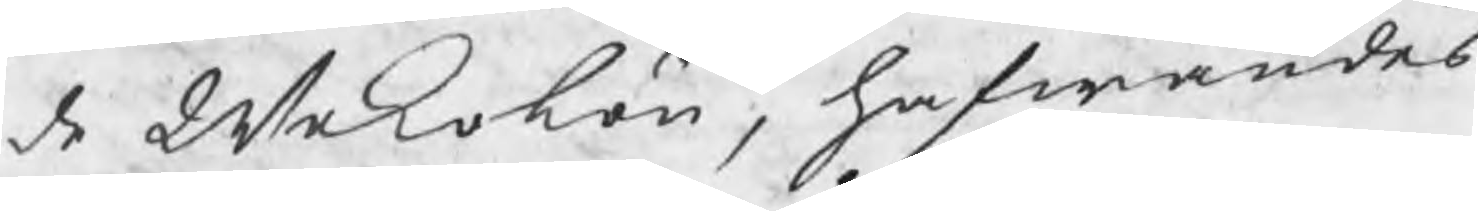de Wekolön, hafwandes
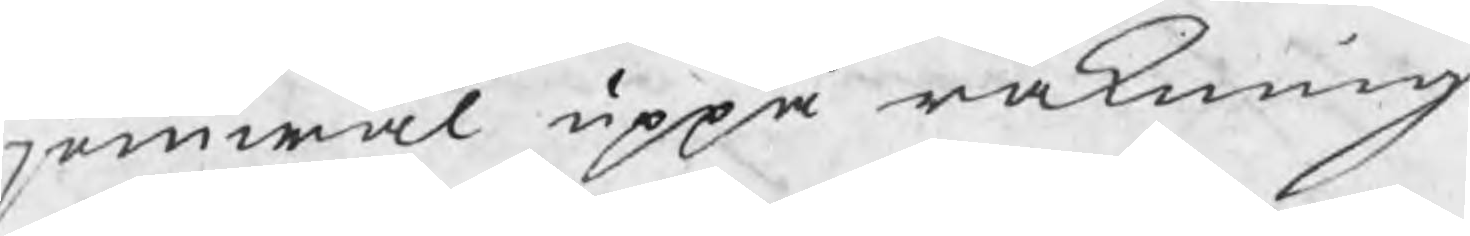jemwäl uppå räkning
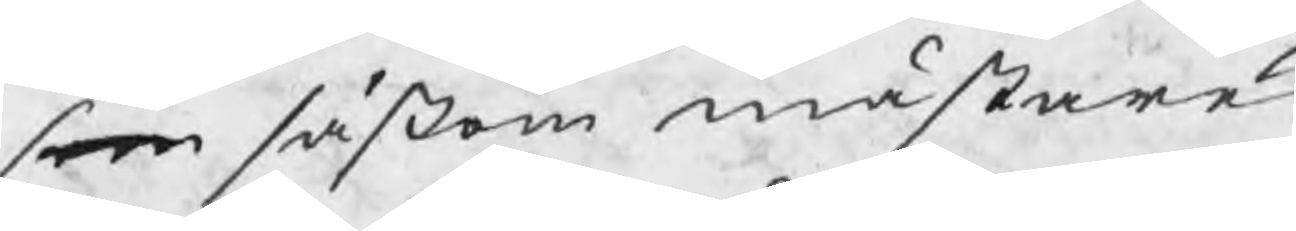som såsom mästare
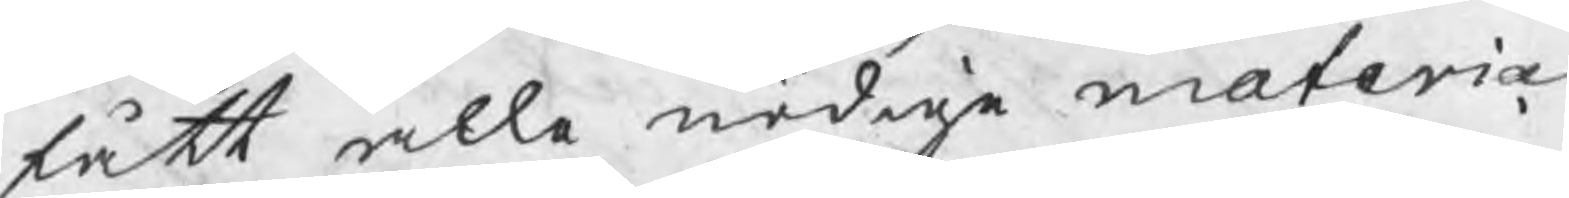fått alle nödige materia¬
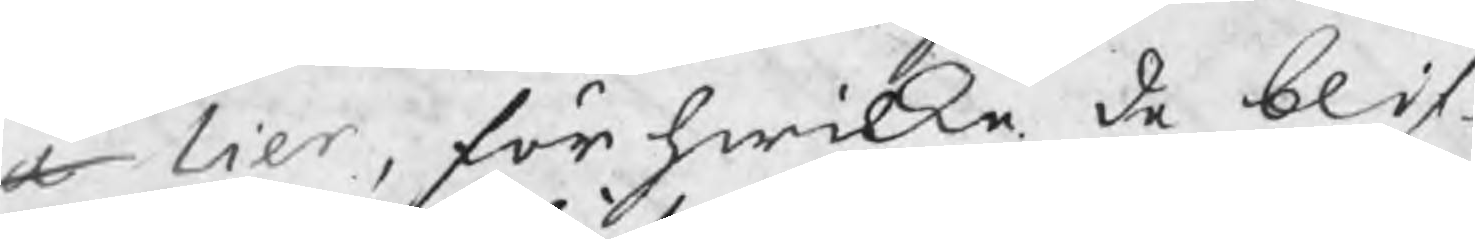a lier, för hwilka de blif¬
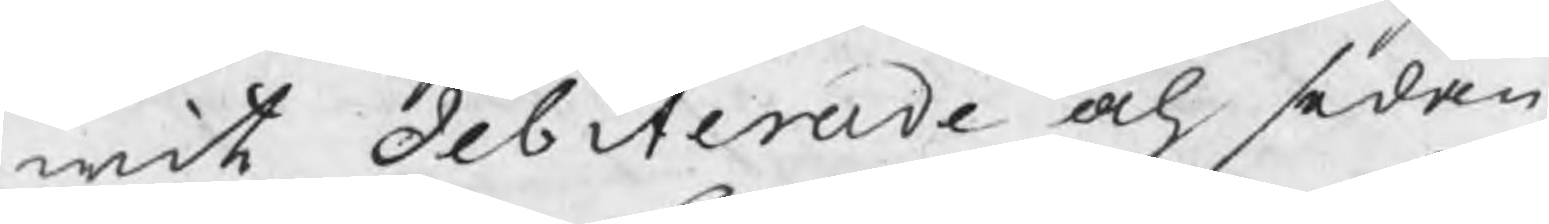wit debiterade och sedan
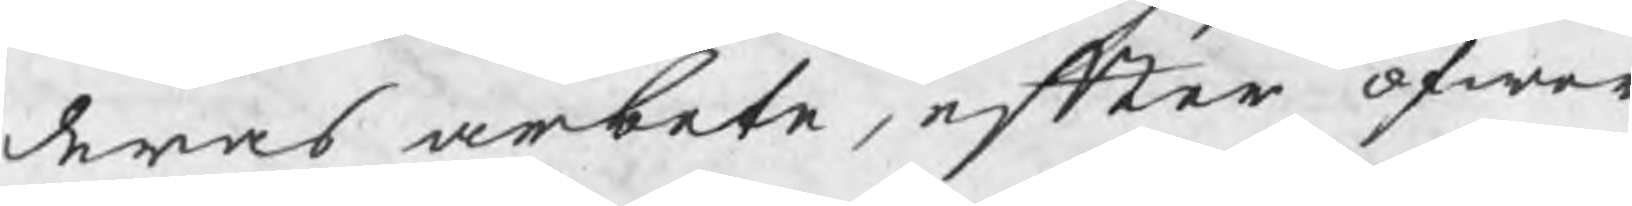deras arbete, efter öfwer
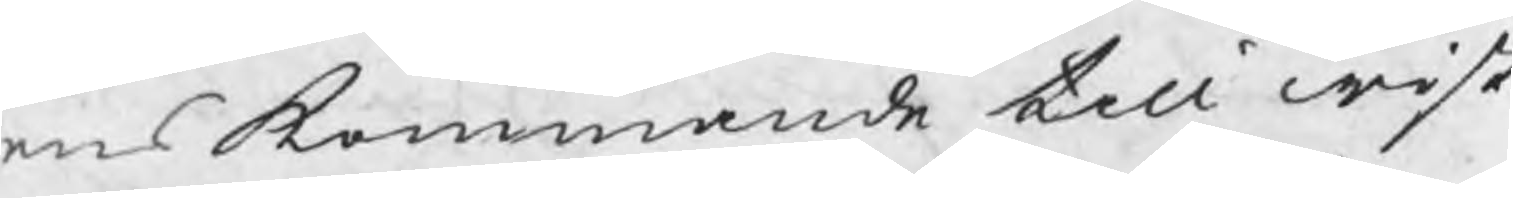enskommande till wist
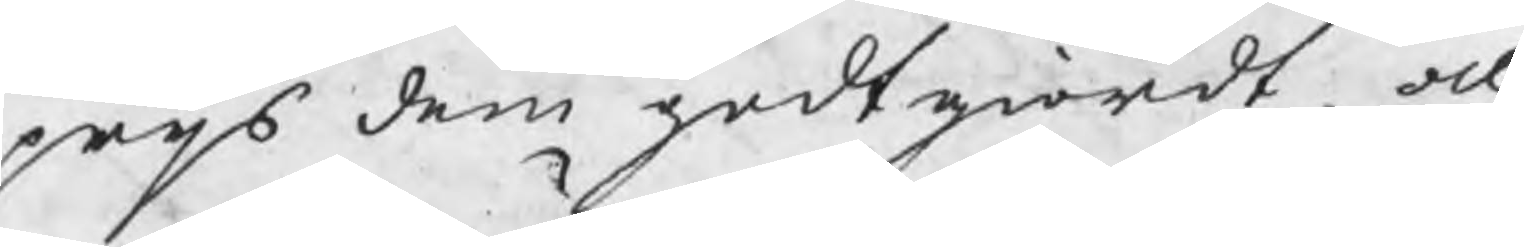prijs dem godtgiordt, och
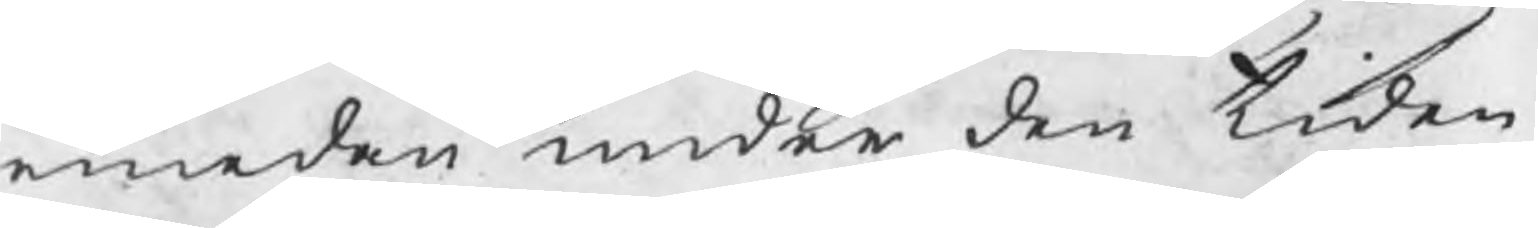emedan under den tiden
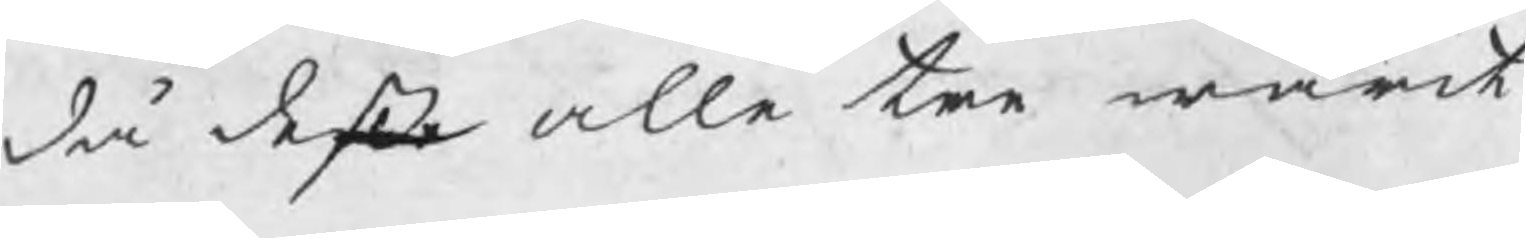då deße alle tre warit
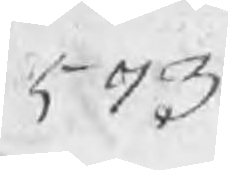573
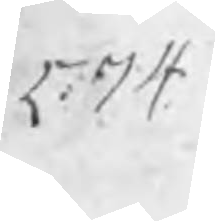574
